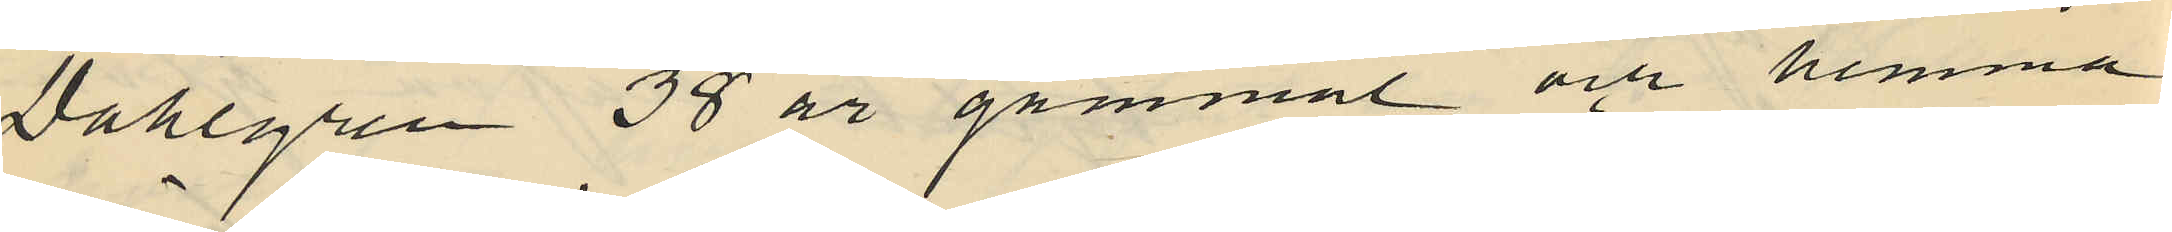Dahlgren 38 år gammal och hemma¬
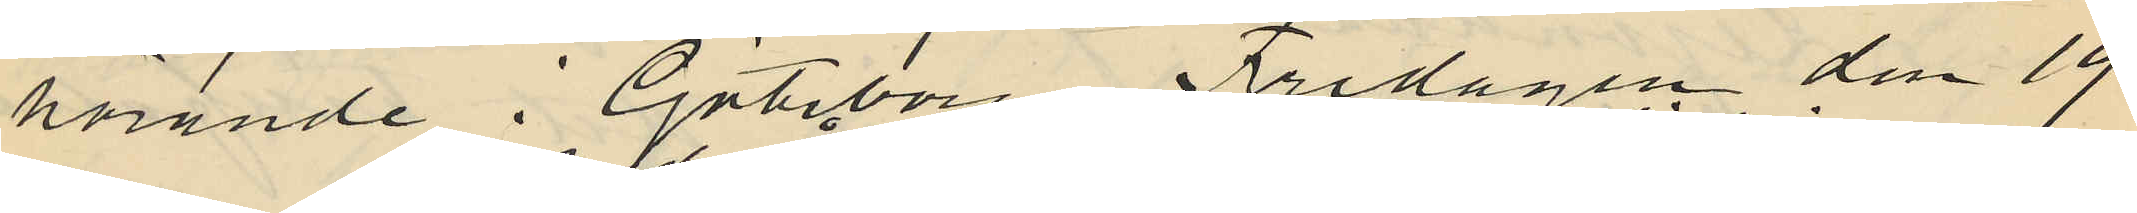hörande i Göteborg Fredagen den 19
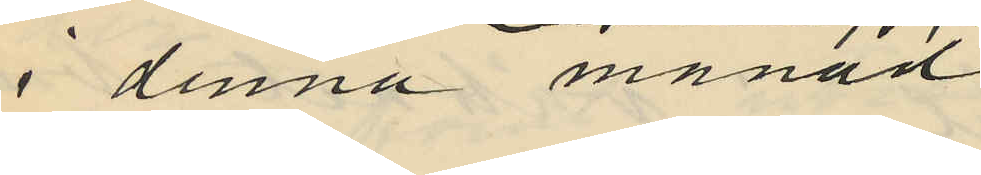i denna månad
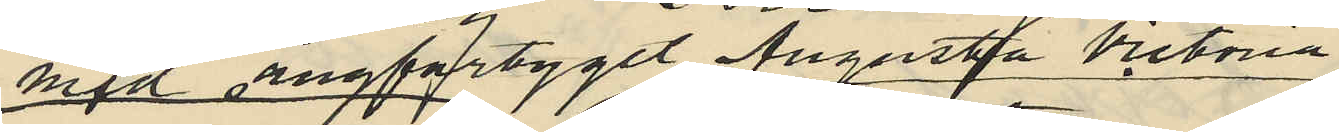med ångfartyget Augusta Victoria
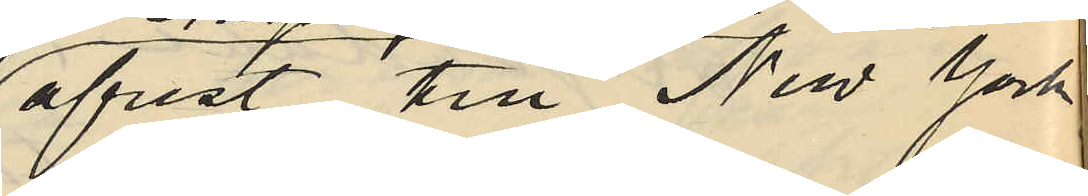afrest till Nev York
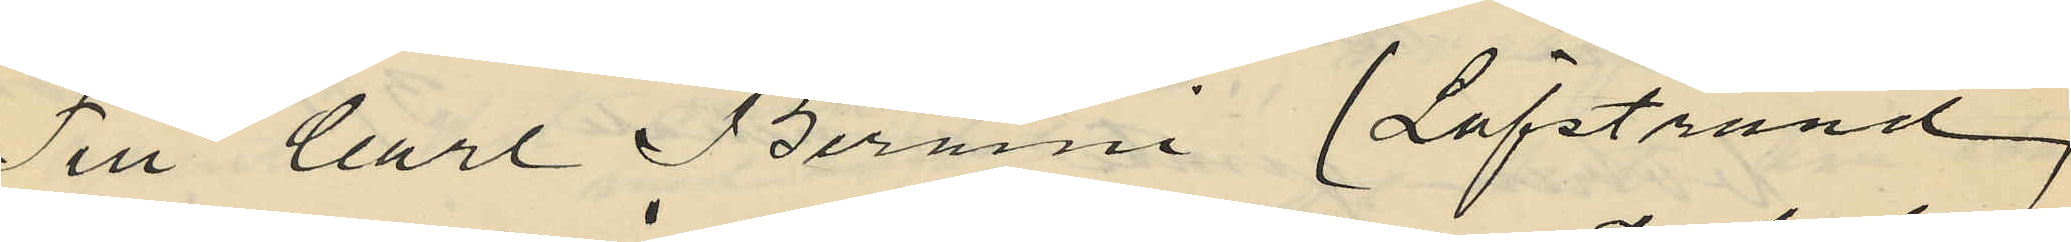Till Carl Bernini (Löfstrand)
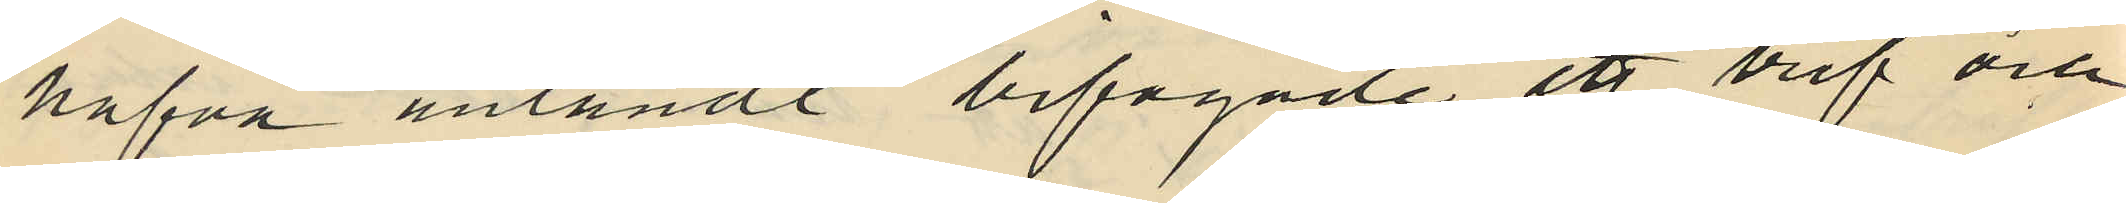hafva inländt bifogade ett bref och
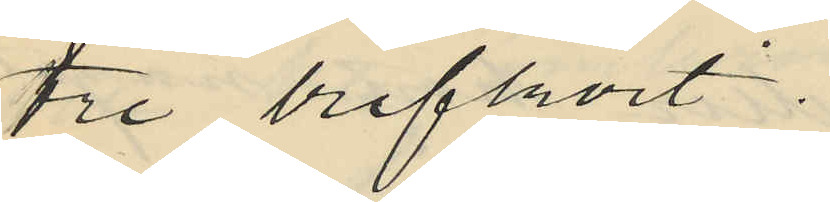tre brefkort.
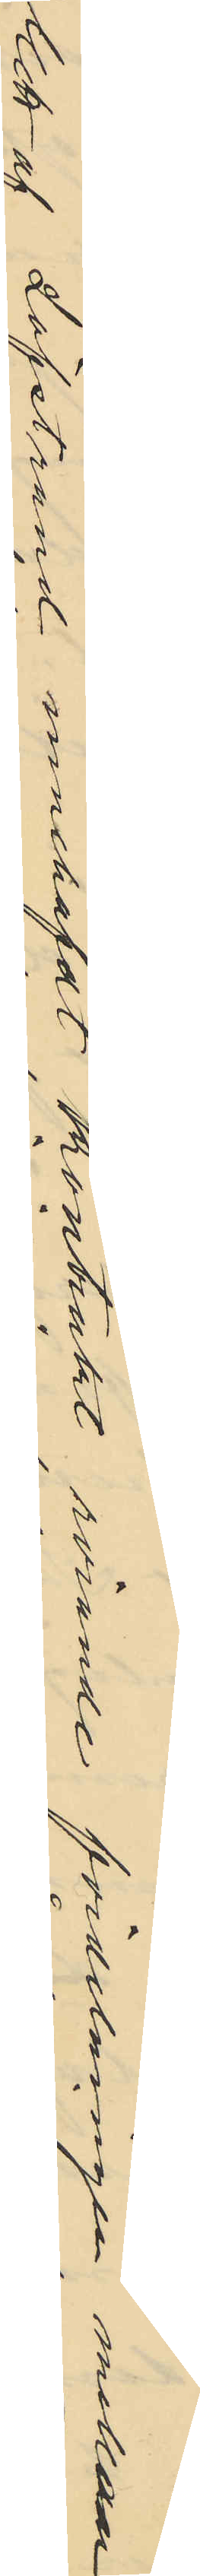Ett af Löfstrand innehafdt kontrakt rörande fördelningen mellan
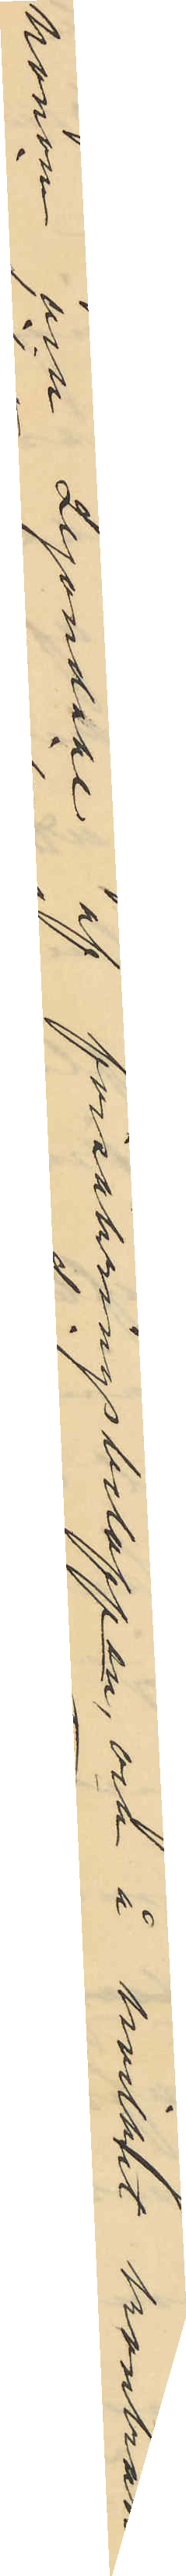honom och Lejondahl af försäkringsbeloppen, och å hvilka kontrakt
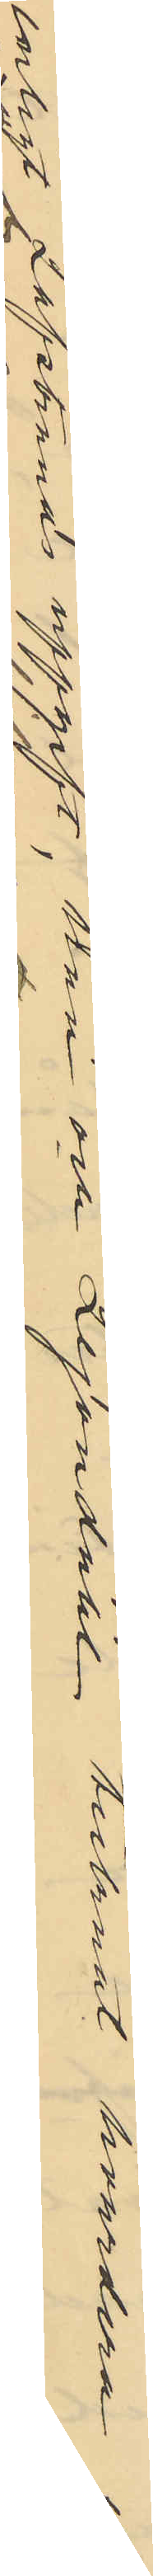enligt Löfstrands uppgift, han och Lejondahl tecknat hvardera ett
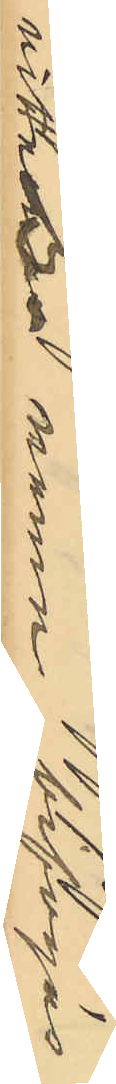vittne namn bifogas
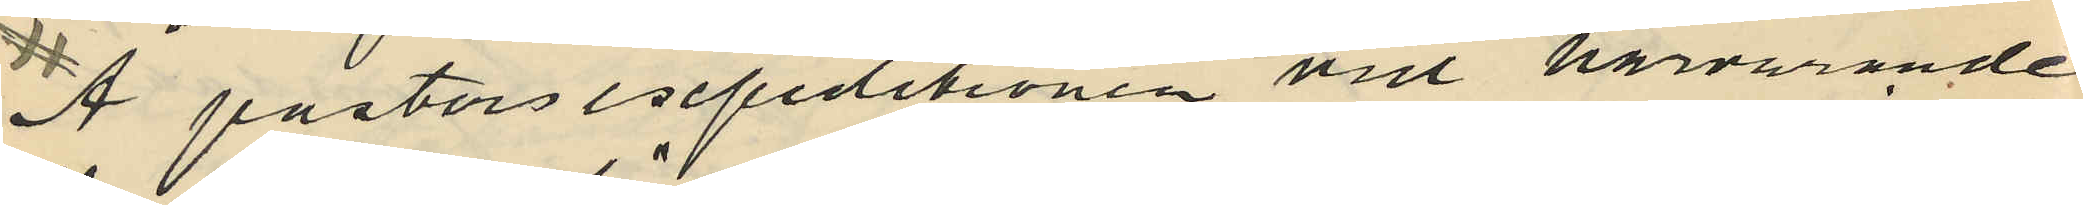Å pastorsexpeditionen vid härvarande
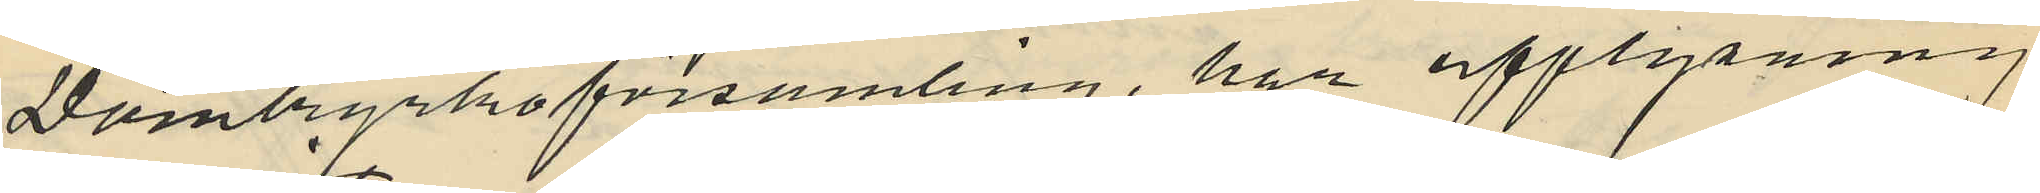Domkyrkoförsamling, har upplysning
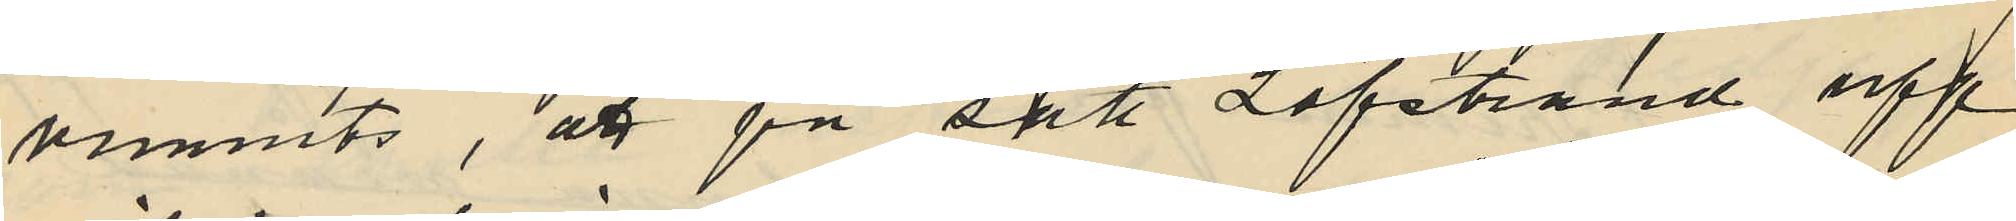vunnits, att på sätt Löfstrand upp
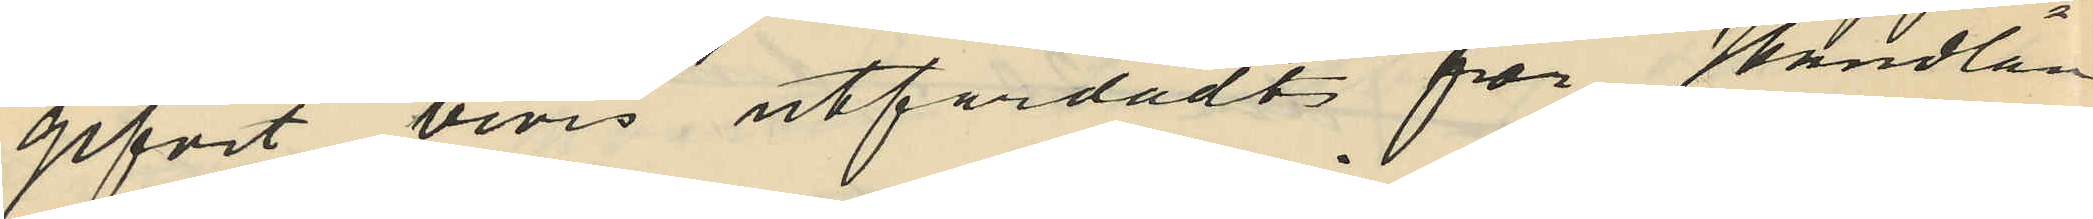gifvit bevis utfärdadt för Handlan¬
